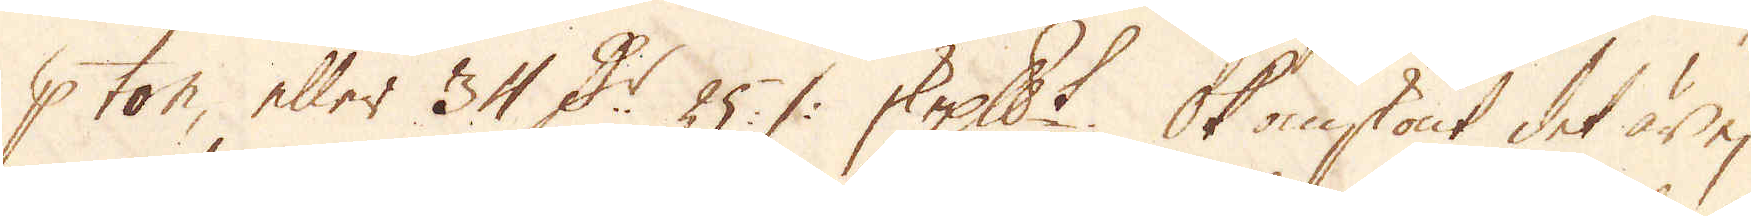p ton eller 34 D:r 25 :/: skeppundet. Ok omskönt det är ej
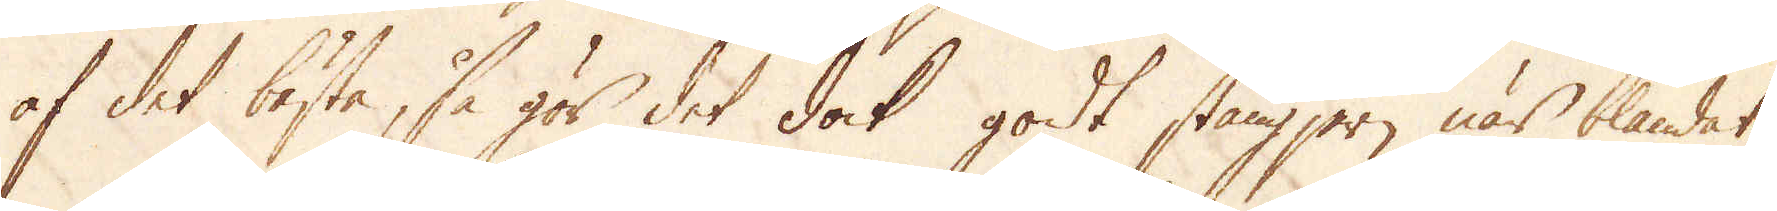af det bästa, så gör det dock godt stångjern när blandat
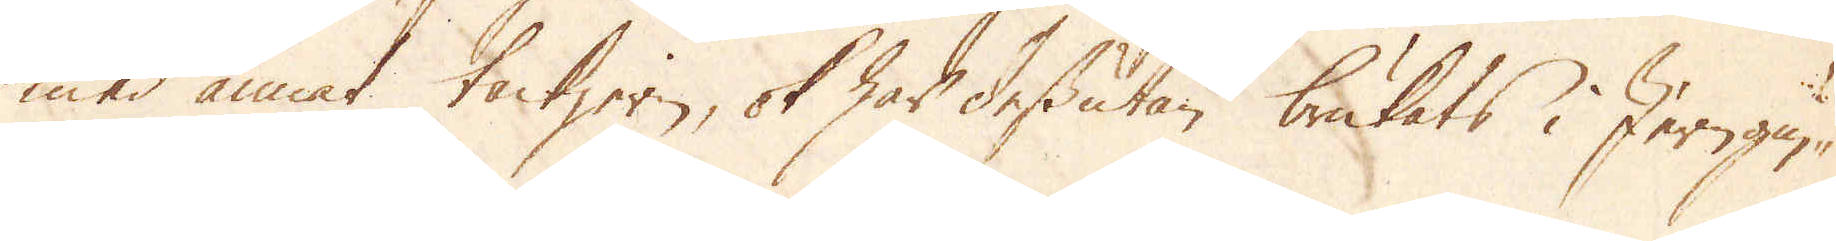med annat tackjern, ok har dessutan brukats i Jerngu-
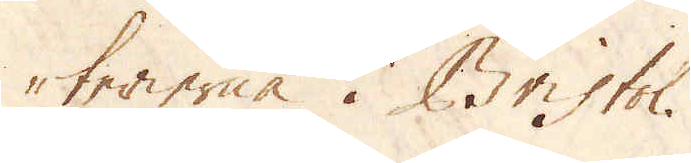terierna i Bristol.
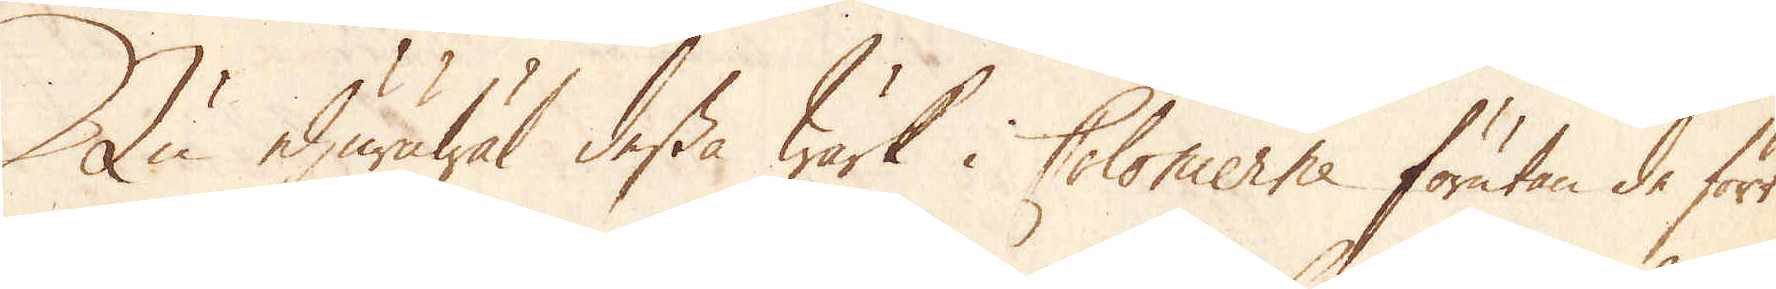Nu ehuruwäl dessa Wärk i Colonierne förutan de för
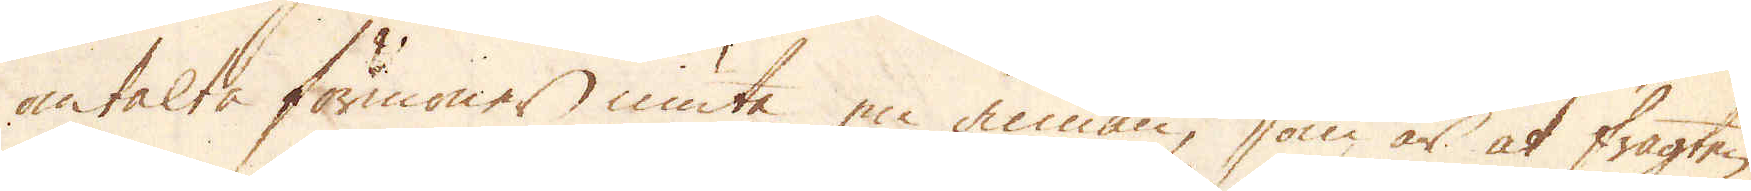omtalte förmöner niuta en annan, som är at fragten
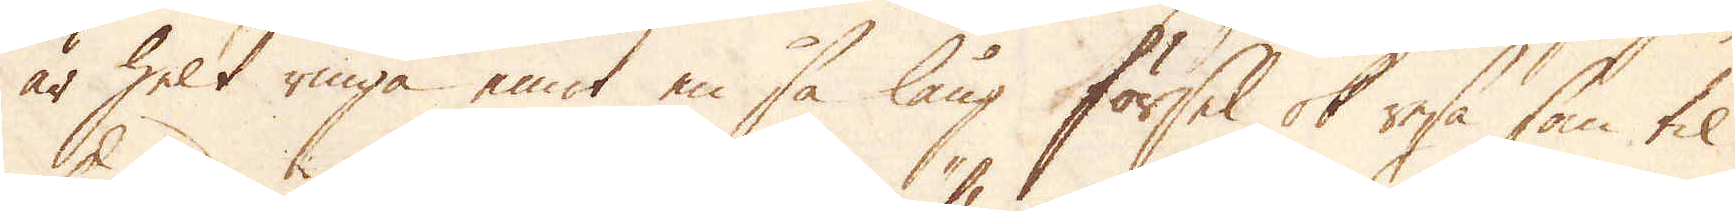är helt ringa emot en så lång försel ok resa, som til
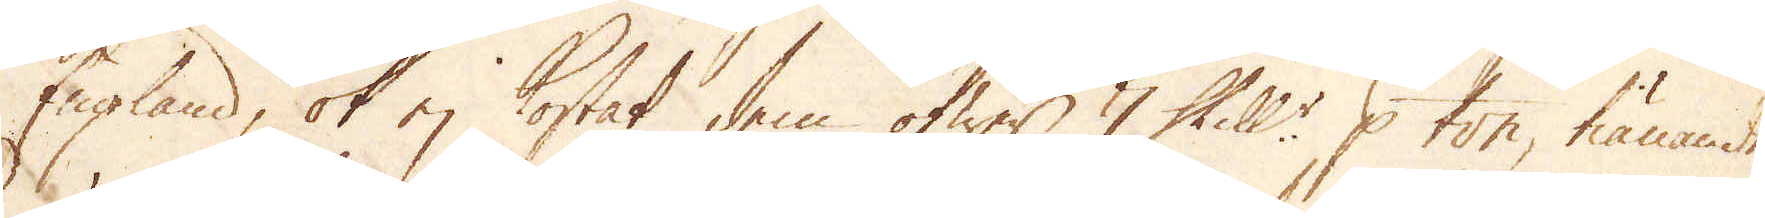England, ok ej kostat dem öfwer, 7 Skill:r p ton, tiänande
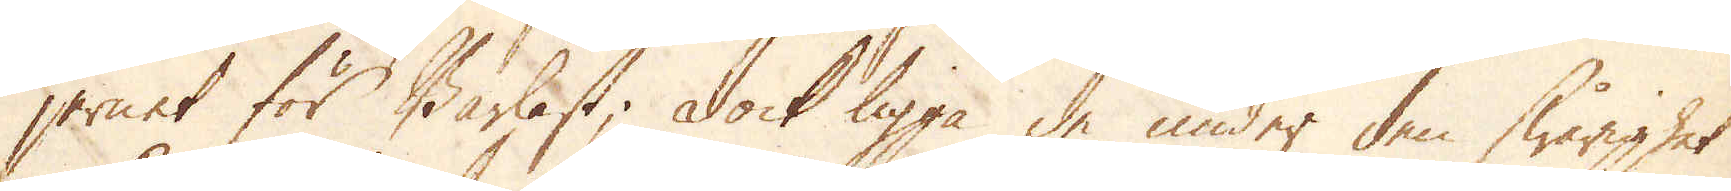jernet för Barlast. Dock ligga de under den swårighet
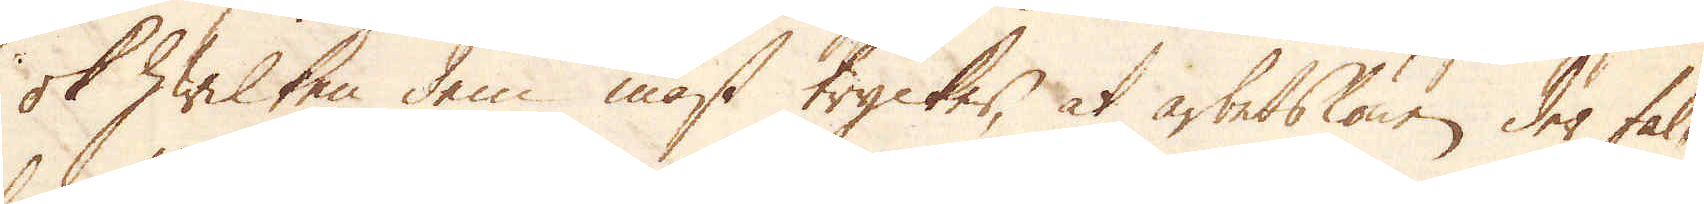ok hwilken dem mäst trycker, at arbetslönen der fal-
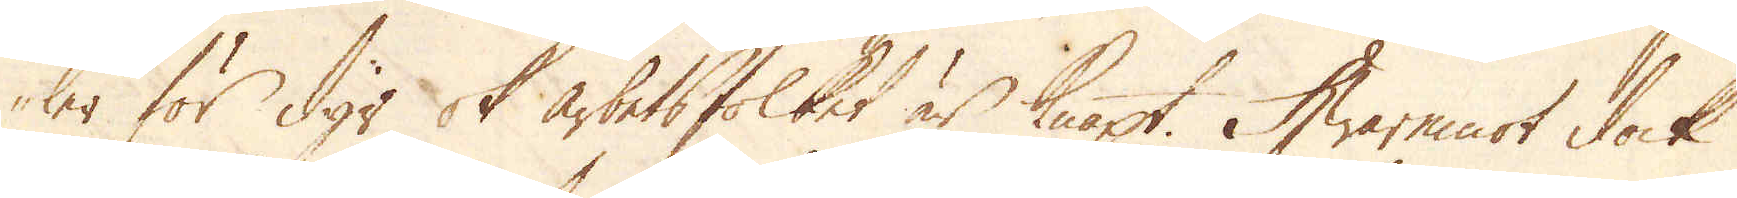ler för dyr ok arbetsfolket är knapt. Hwaremot dock
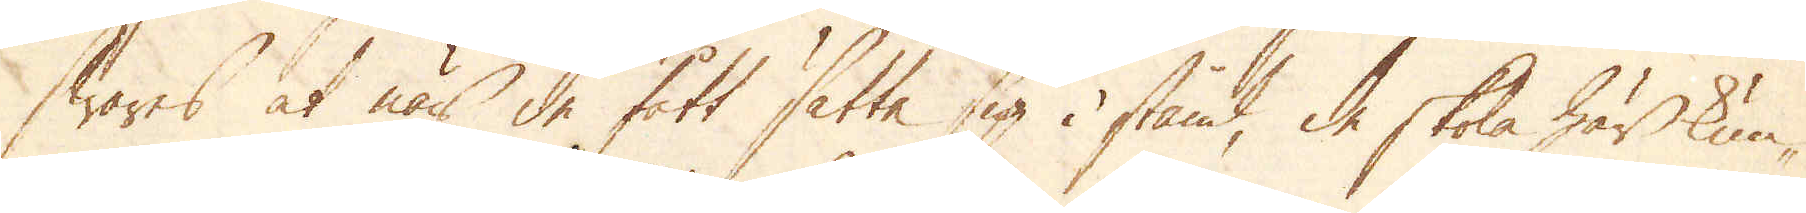swares at när de fått sätta sig i stånd, de skola här kun-
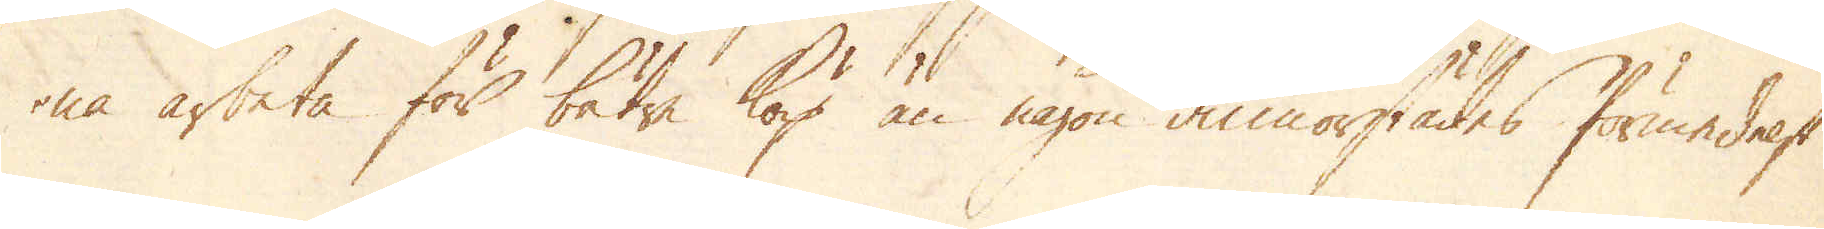na arbeta för bätre köp än någon annorstädes förmedelst
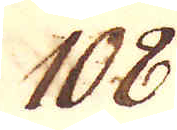108.
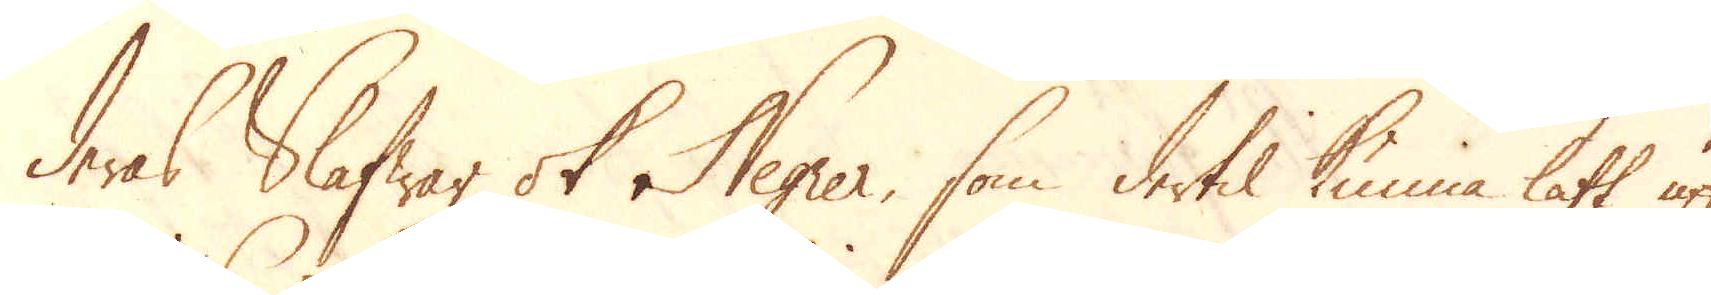deras Slafwar ok Negrer, som dertil kunna lätt upp-
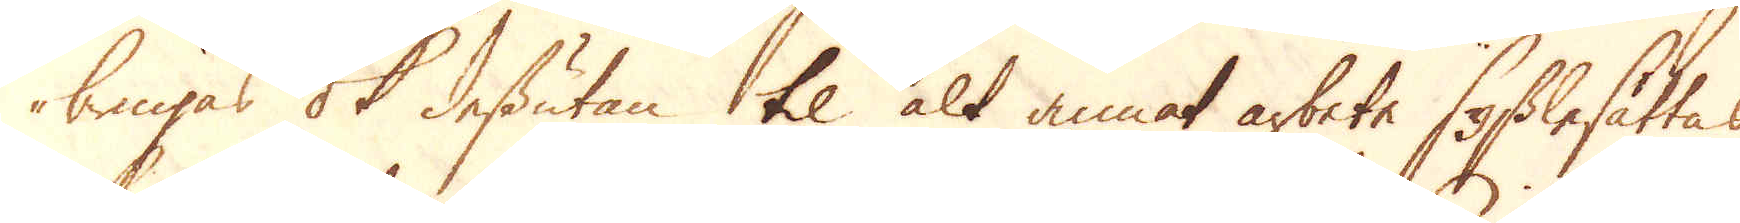bringas ok dessutan til alt annat arbete sysselsättas,
